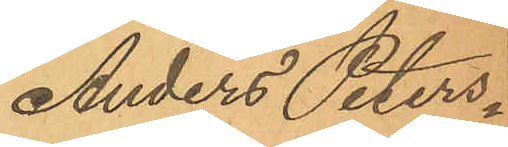Anders Peters¬
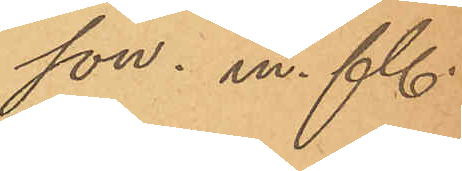son. m. fl.
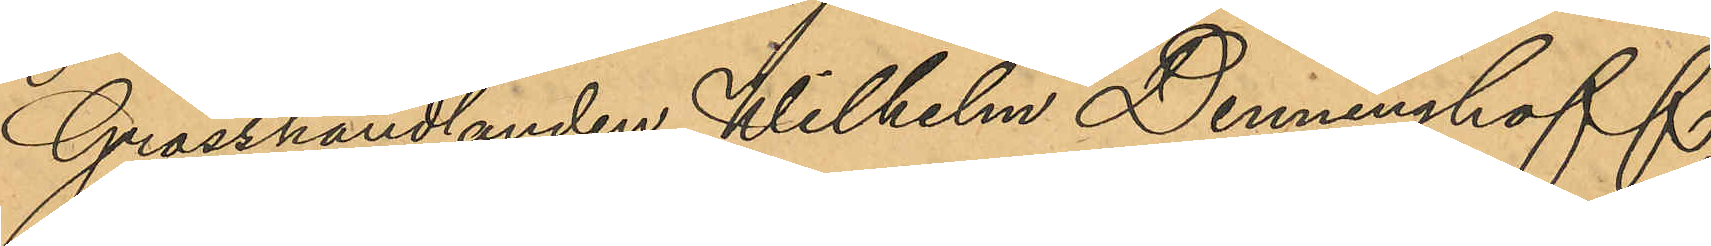Grosshandlanden Wilhelm Denninghoff,
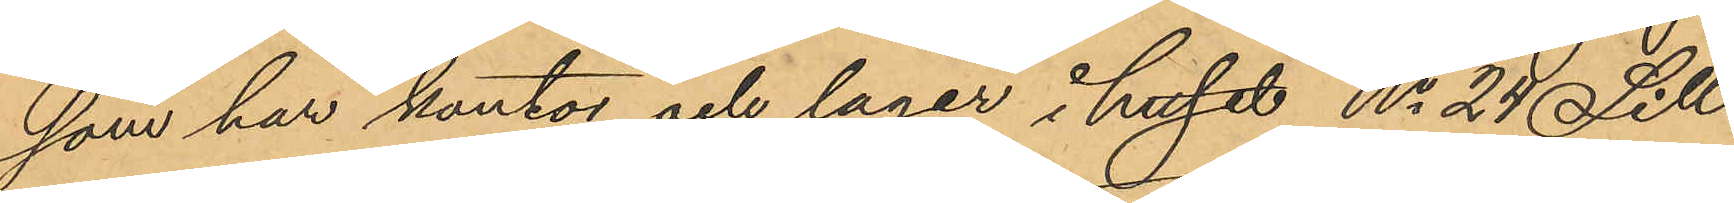som har kontor och lager i huset No 24 Sill¬
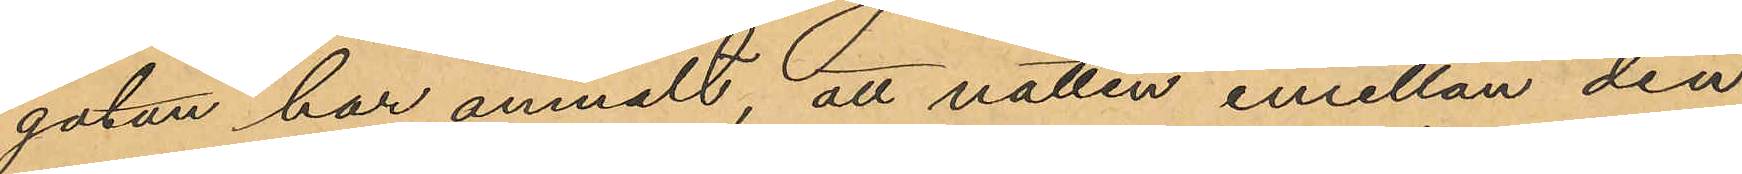gatan har anmält, att natten emellan den
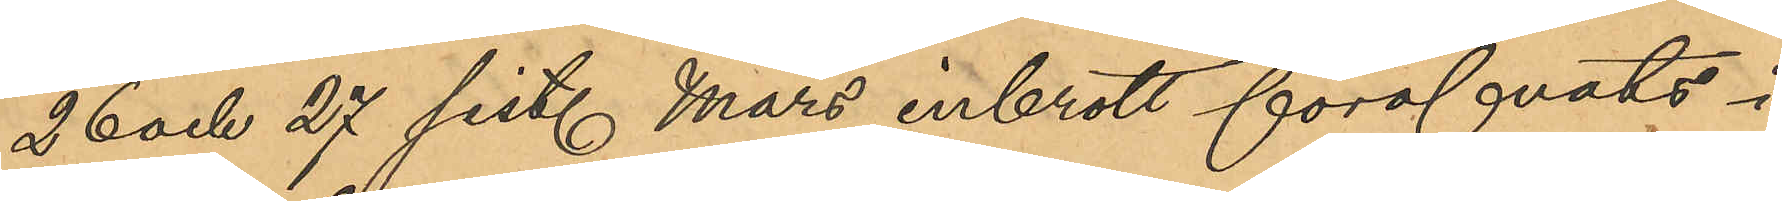26 och 27 sist. Mars inbrott föröfvats i
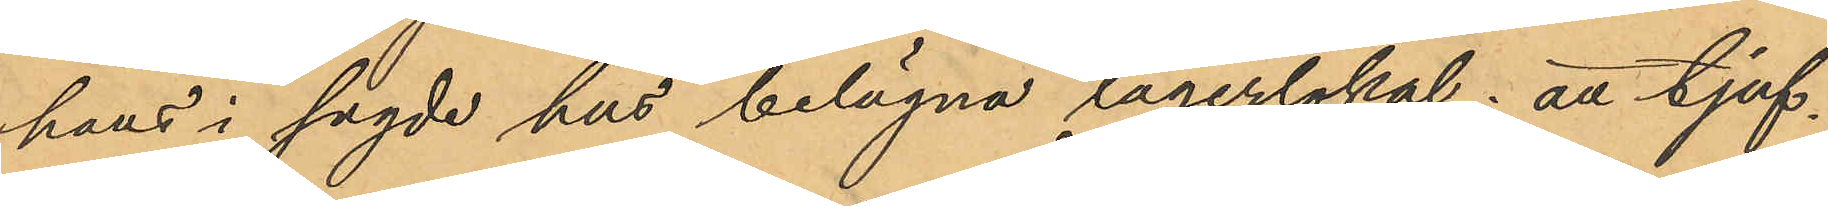hans i sagde hus belägna lagerlokal; att tjuf¬
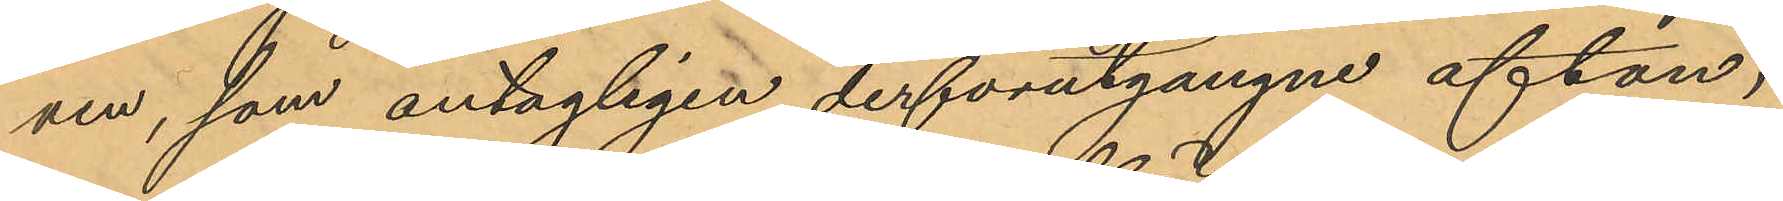ven, som antagligen derförutgångne afton,
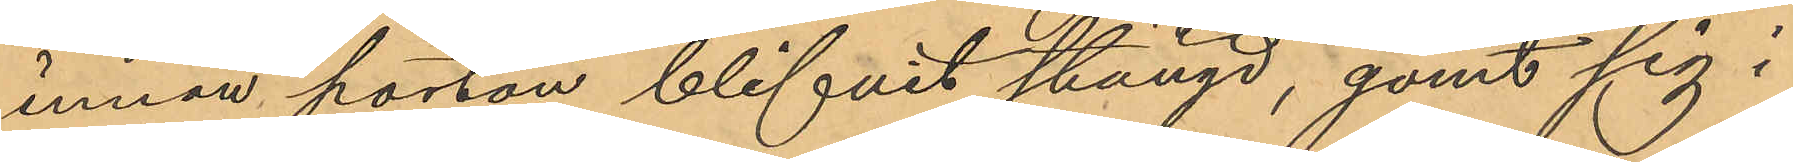innan porten blifvit stängd, gömt sig i
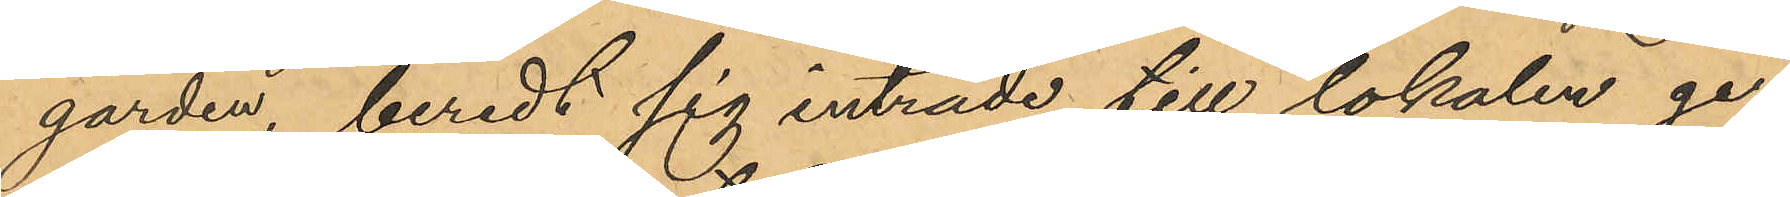gården, beredt sig inträde till lokalen ge¬
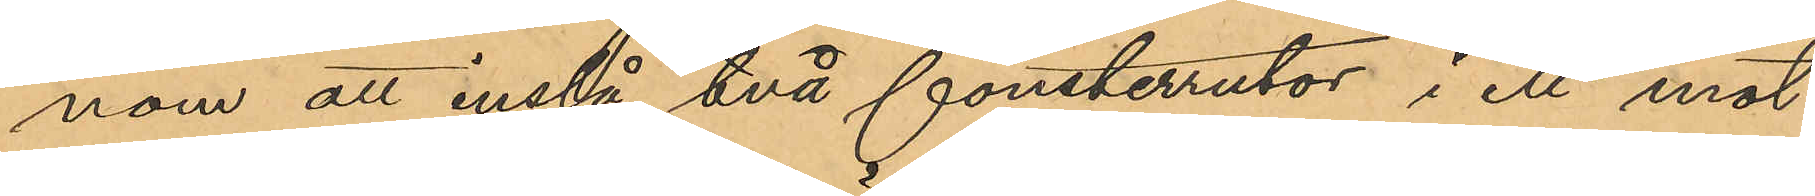nom att inslå två fönsterrutor i ett mot
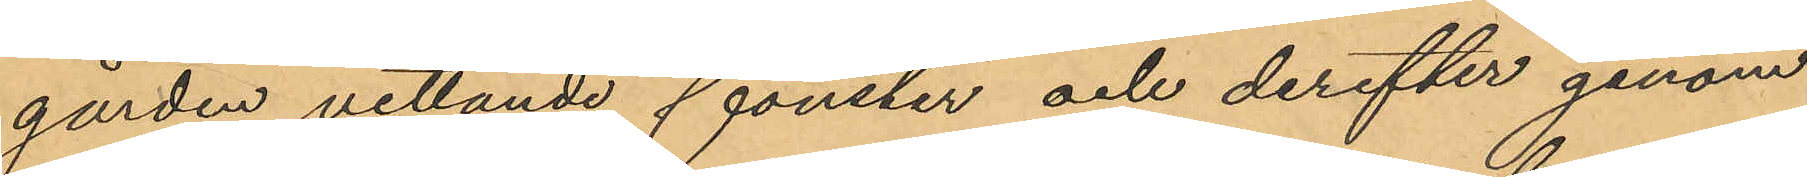gården vettande fönster och derefter genom
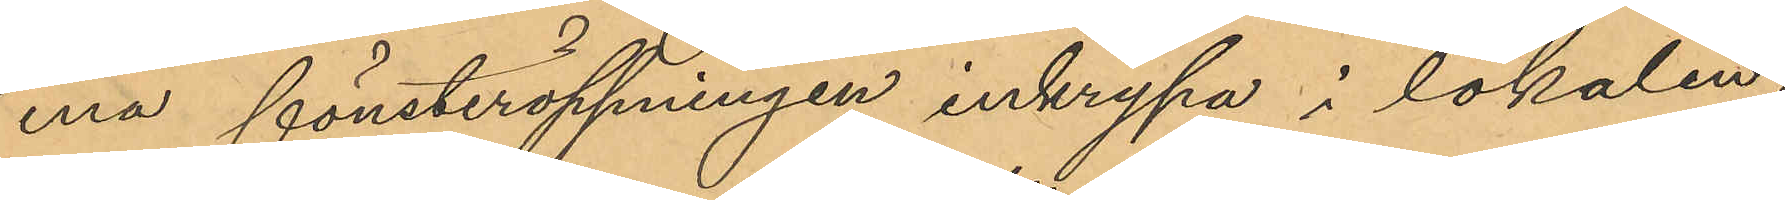ena fönsteröppningen inkrypa i lokalen;
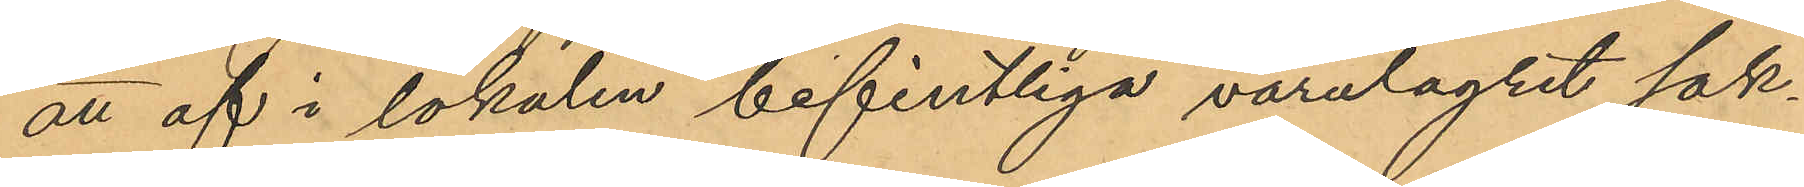att af i lokalen befintliga varulagret sak¬
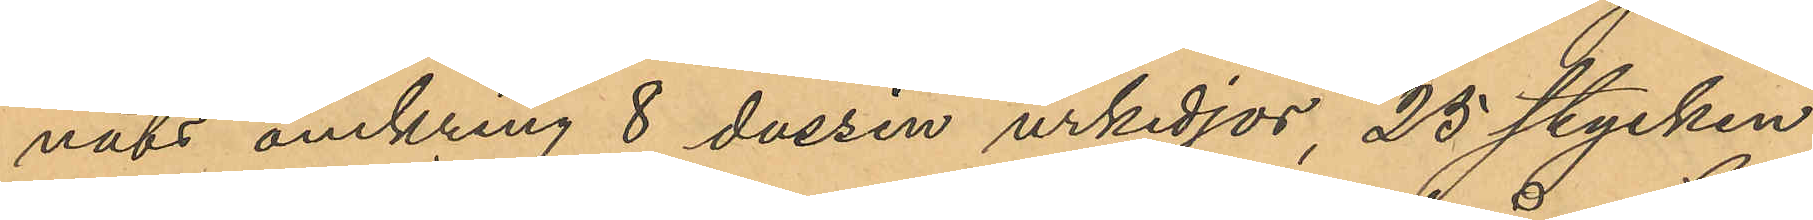nats omkring 8 dussin urkedjor, 25 stycken
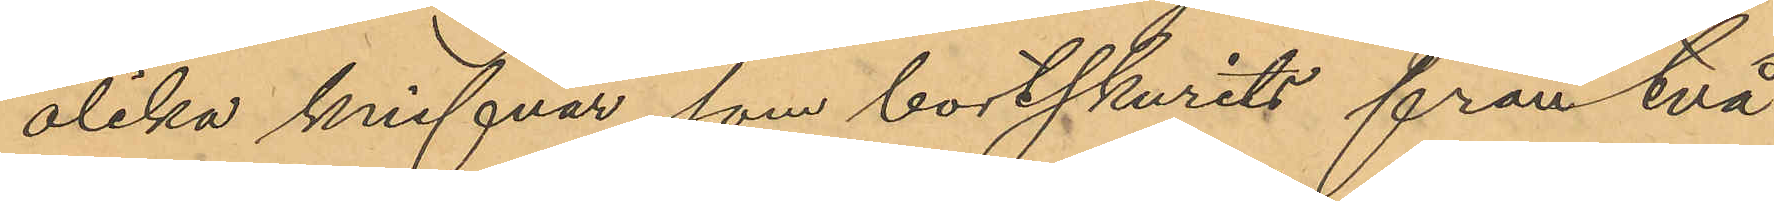olika knifvar som bortskurits från två
